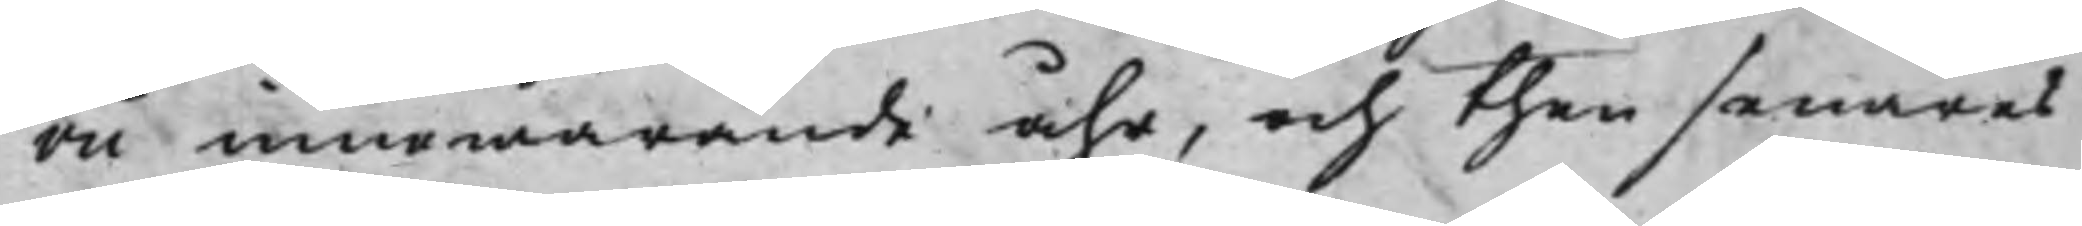rii innewarande åhr, och then senares
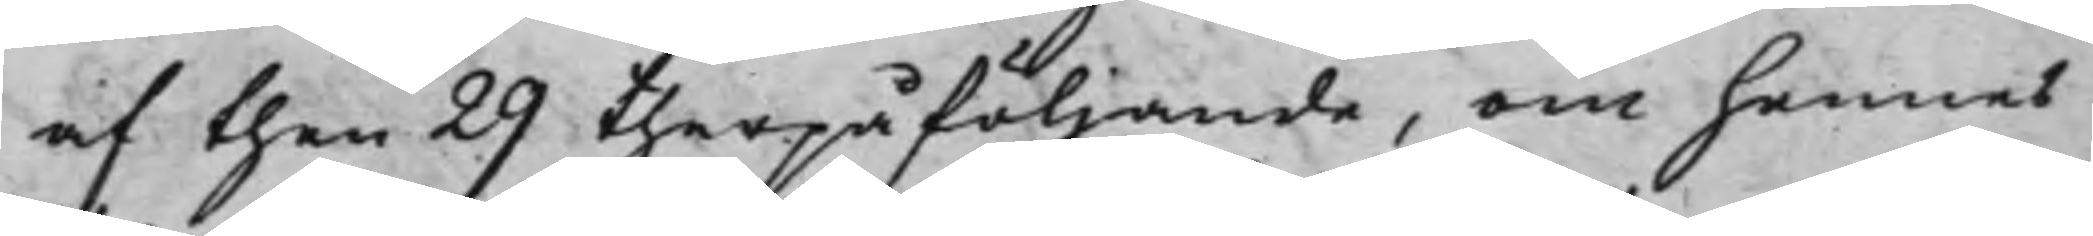af then 29 therpåföljande, om hennes
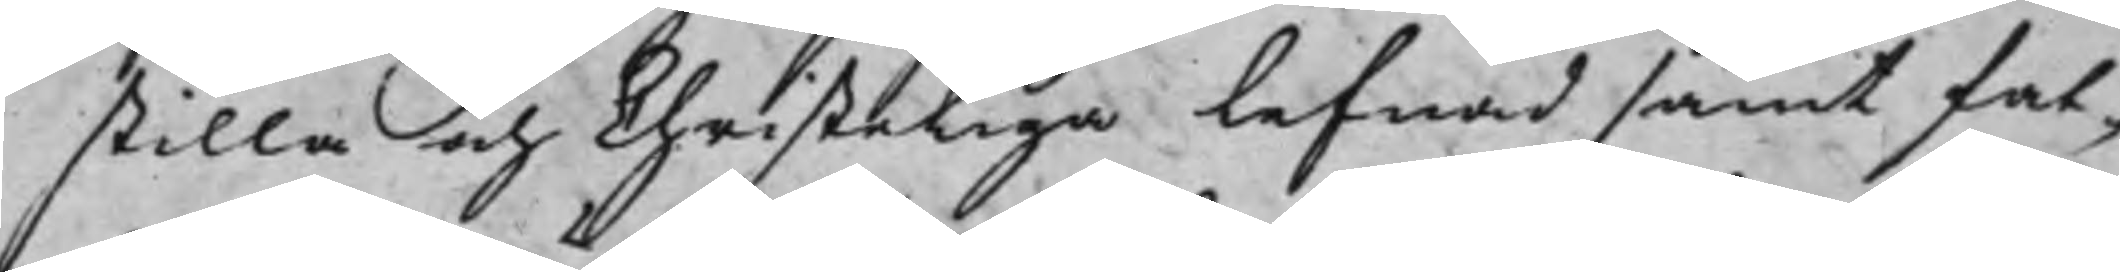stilla och Christeliga lefnad samt fat¬
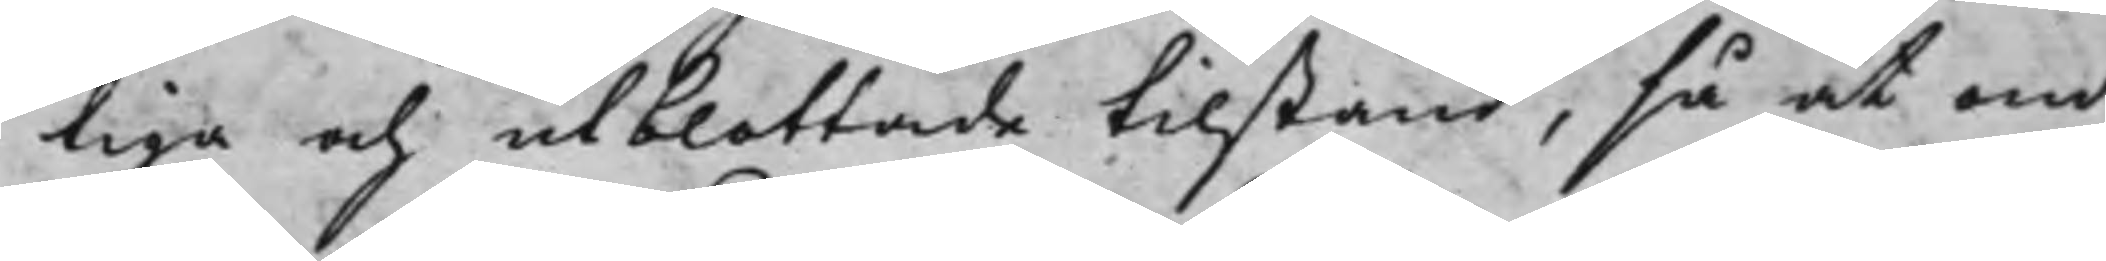tiga och utblottade tilstånd, så at om
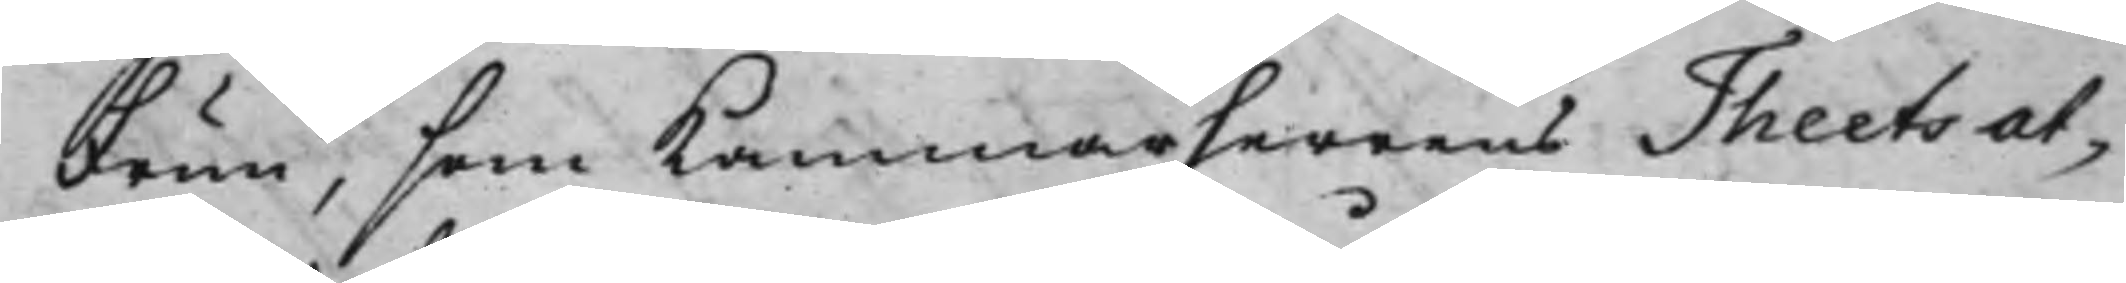Frun, som Kammarherrens Theets at¬
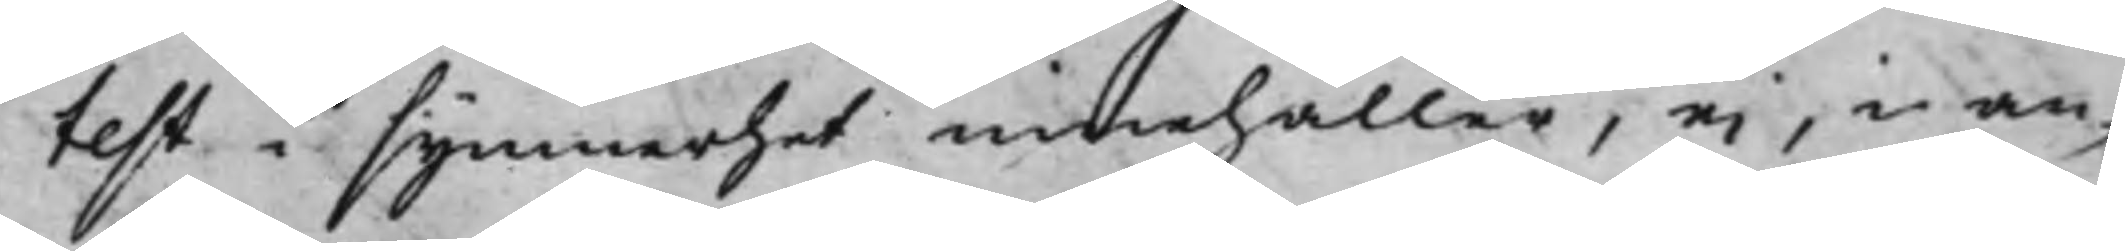test i synnerhet innehåller, ei, i an¬
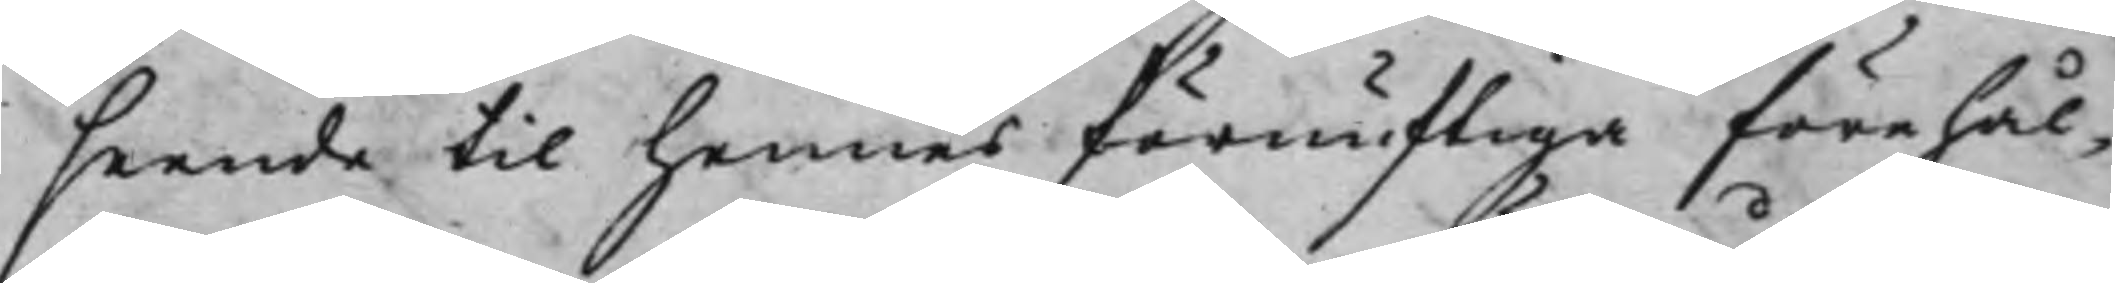seende till hennes förnuftiga förehål¬
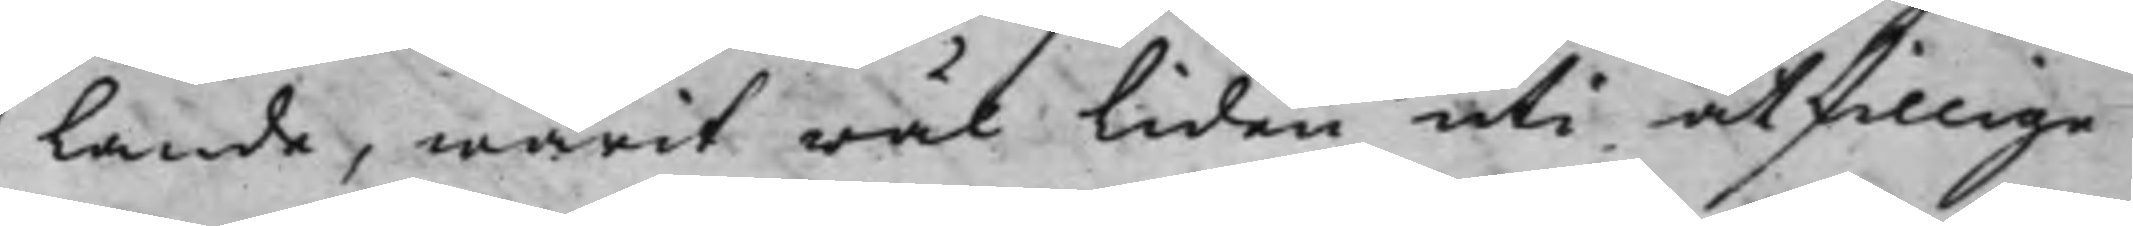lande, warit wäl Liden uti åtskillige
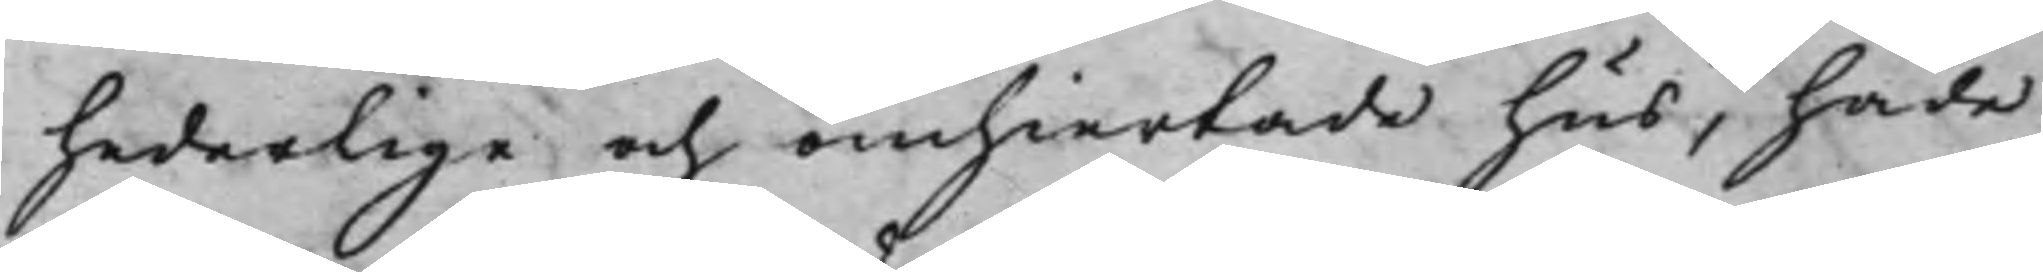hederlige och ömhiertade hus, hade
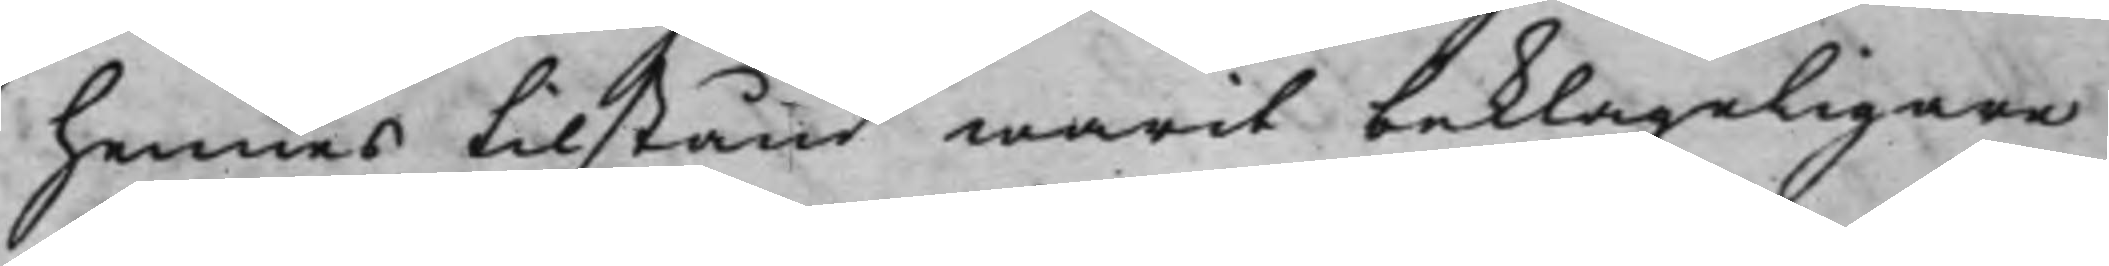hennes tilstånd warit beklageligare
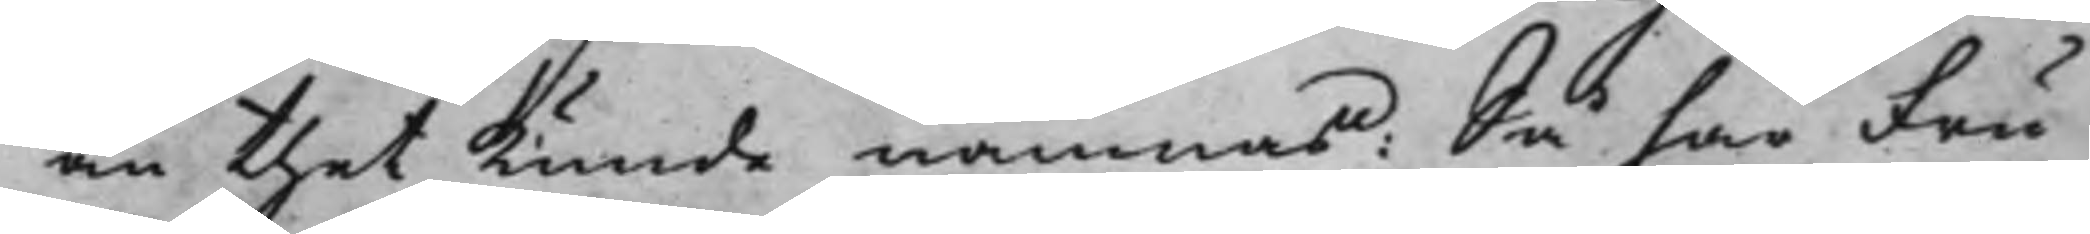än thet kunde nämnas: Så har Fru
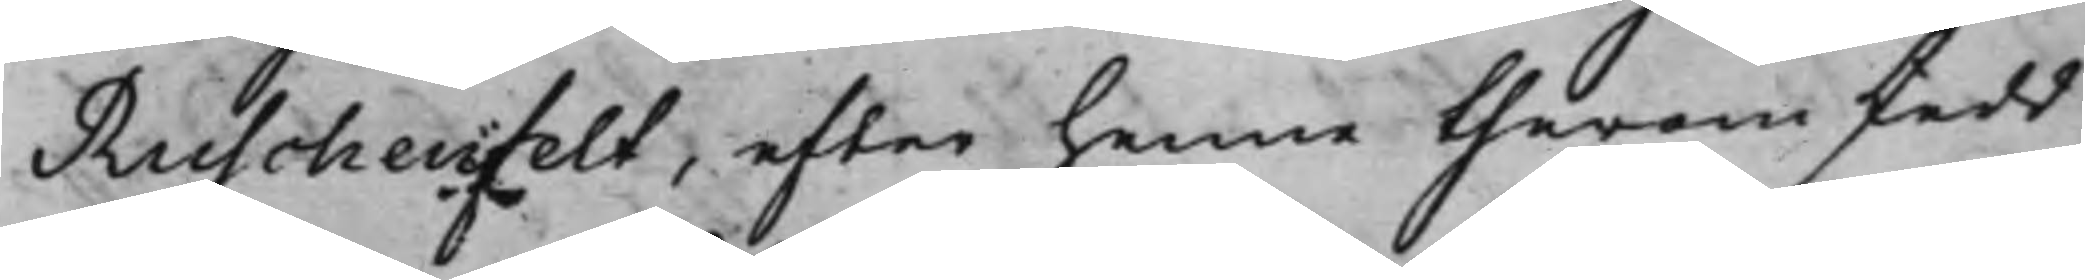Ruschenfelt, efter henne therom skedd
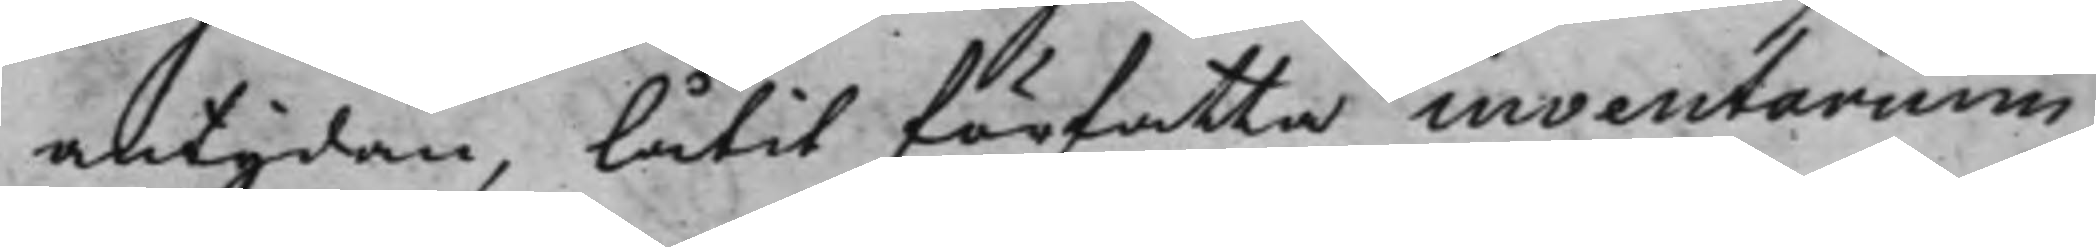antydan, låtit författa inventarium
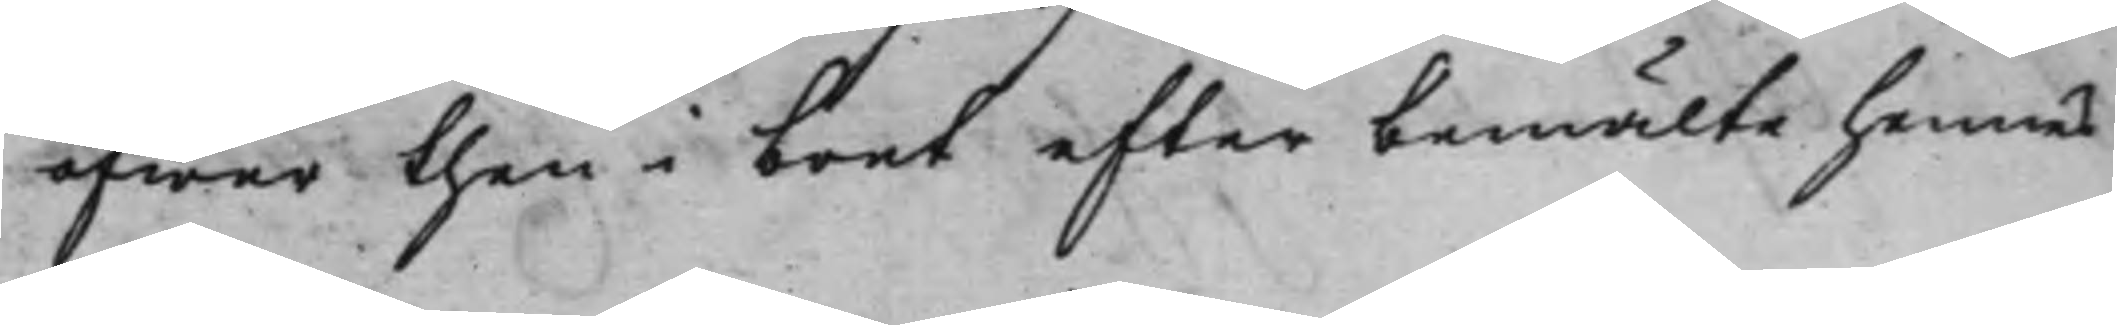öfwer then i boet efter bemälte hennes
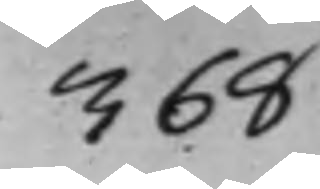368
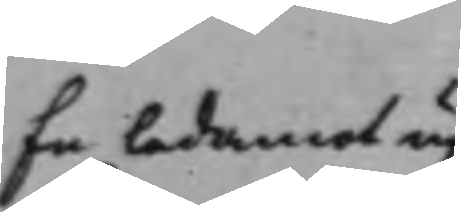En ledamot up¬
